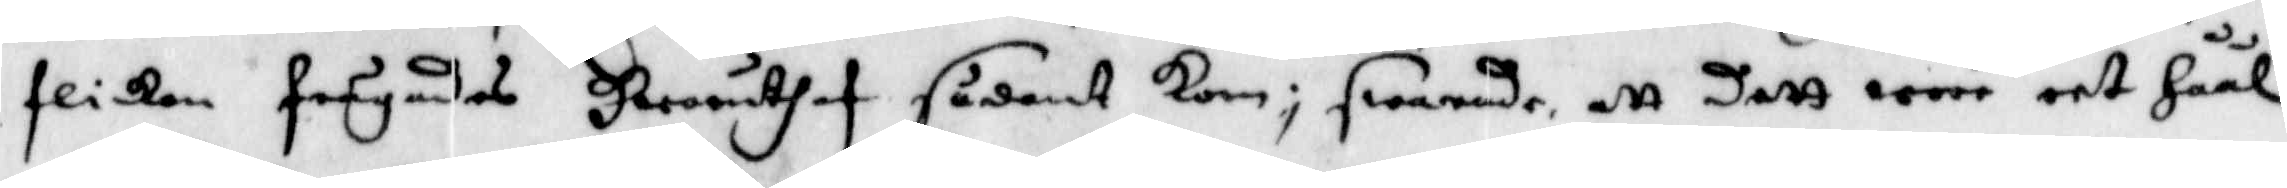flickan frågades Hwaruthaf sådant kom; swarade att dett woro eet Håål
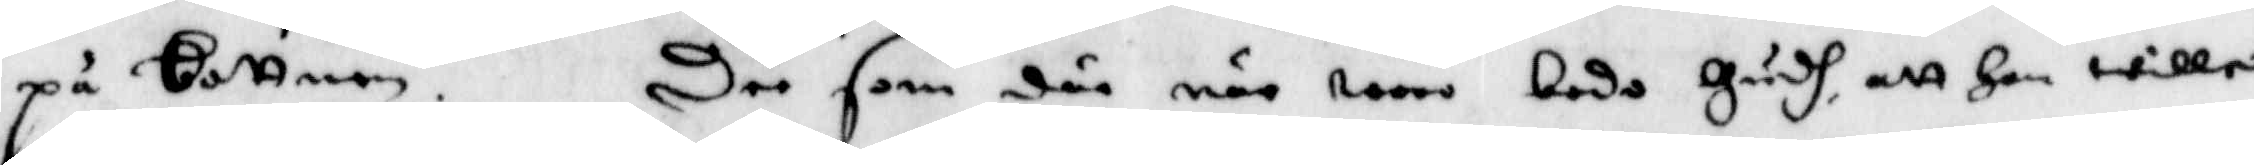på Bottnen. Dee som där när woro bedo Gusdh, att Han wille
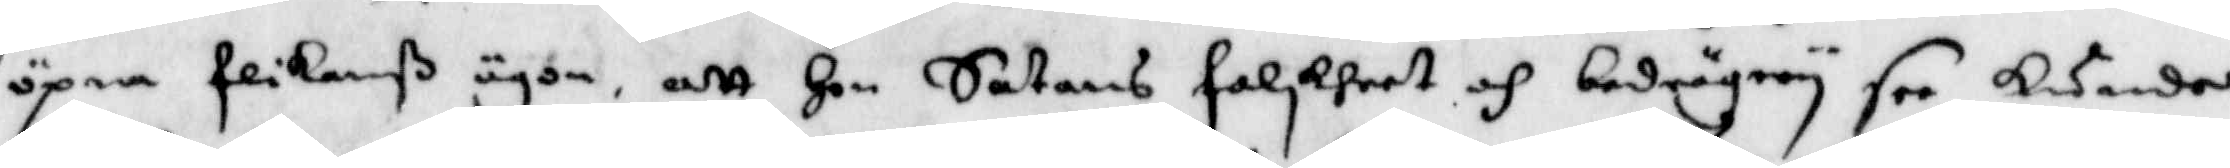öpna flickanß ögon, att Hon Satans falskheet och bedrägery see kunde
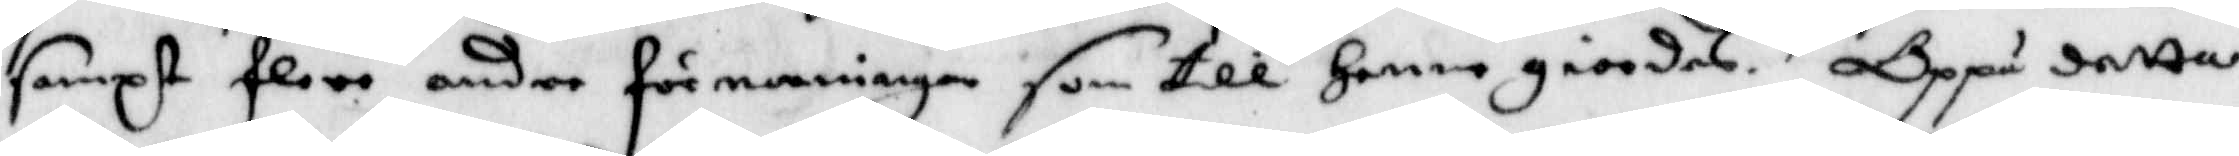sampt flere andre förmaningar som till Henne giordes. Oppå detta
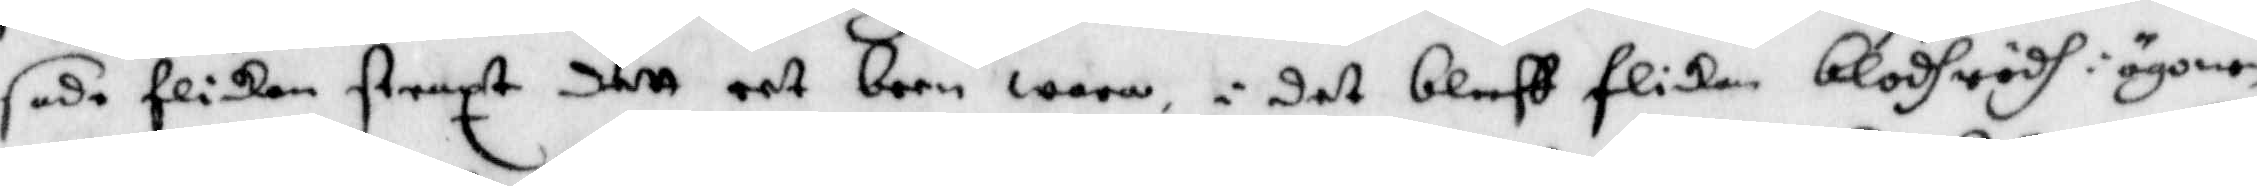sade flickan straxt dett eet barn wara, i det bleff flickan blodhrödh i ögonen
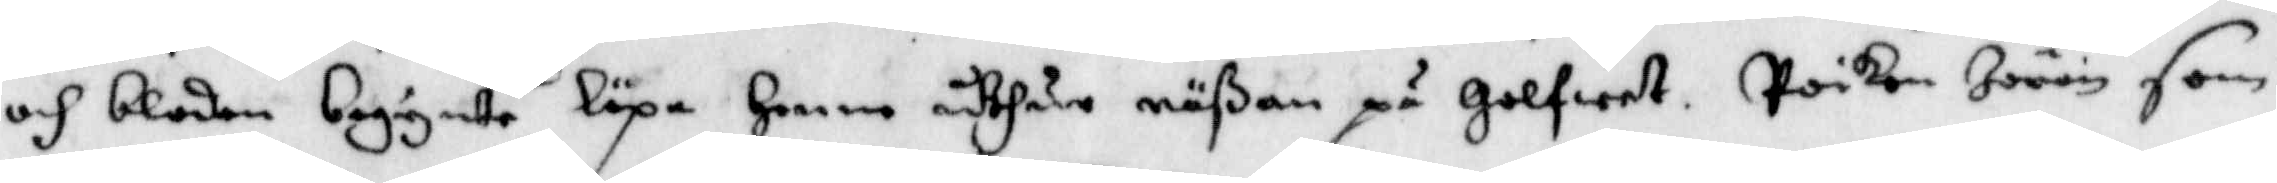och bloden begynte löpa Henne uthur näßan på Golfwet. Poiken Jöran som
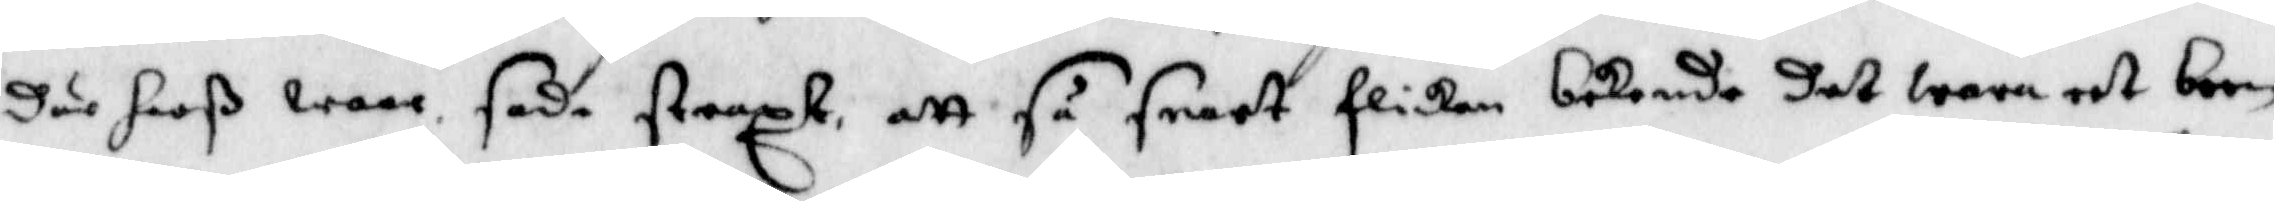där hoß waar sade straxt att så snart flickan bekende det wara eet barn
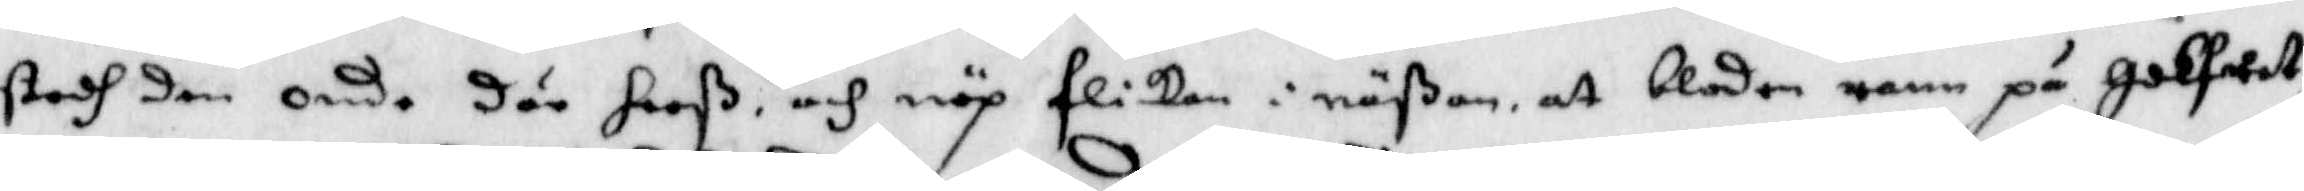stodh den onde där hooß, och nöp flickan i näßan, at bloden rann på Golfwet
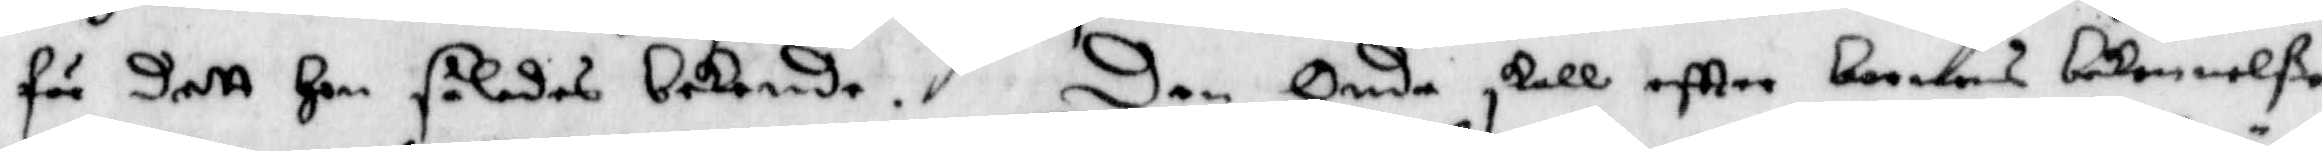för dett Hon således bekende. Den Onda skall eftter barnens bekennelße
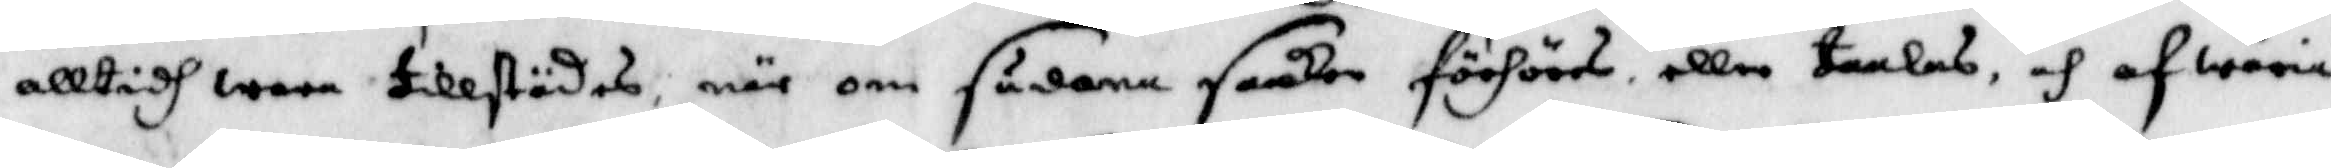alltidh wara tillstädes, när om sådana saaker förhörs, eller taalas, och afwäria
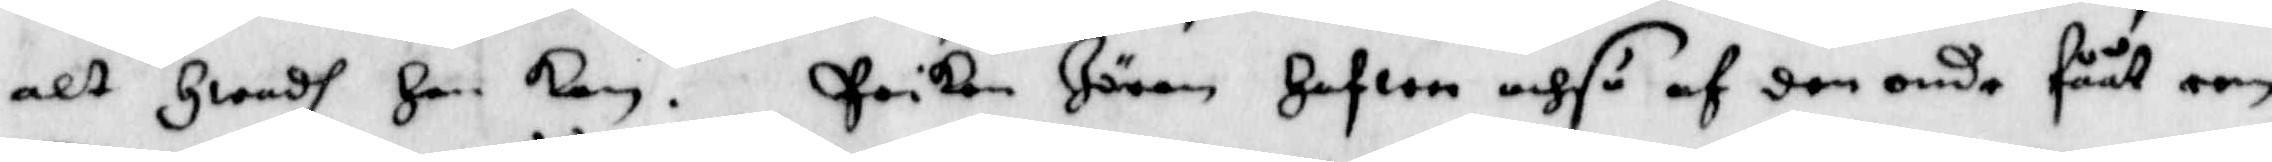alt Hwadh Han kan. Poiken Jöran Hafwa ochså af den onde fååt een
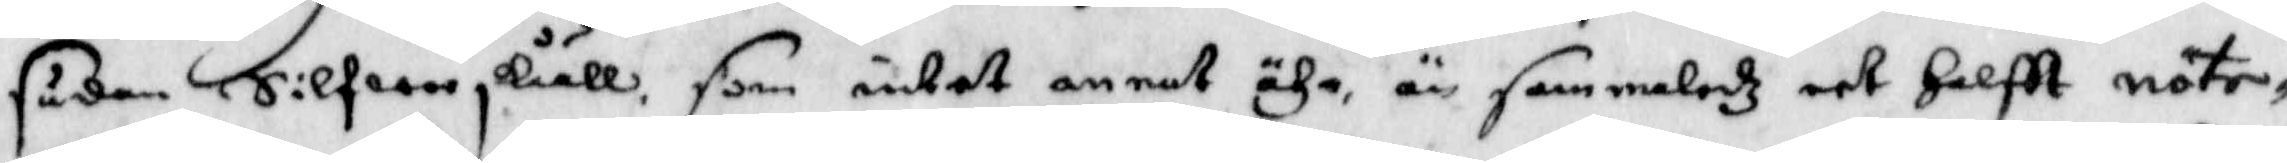sådan Silfwerskååll, som intet annat ähr än sammaleddz eet Halftt nöte¬
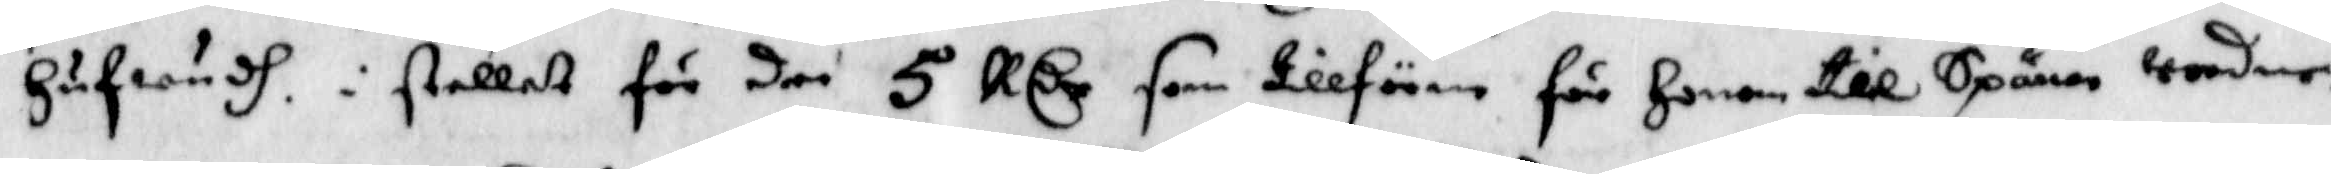Hufwud, i stellet för den 5 RCr som tillförene för Honom till Spånor wordne.
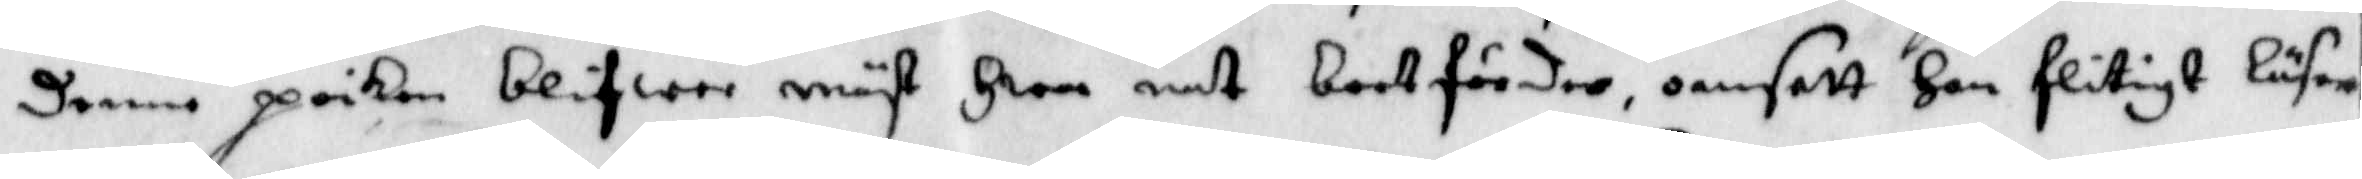Denne poiken blifwer mäst Hwar nat bortförder, oansett Han flitigt Läser
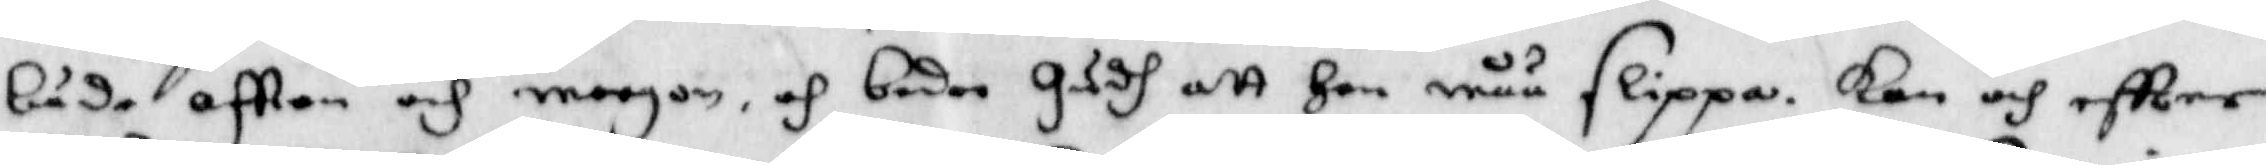både aftton och morgon, och beder Gudh att Han måå slippa. kan och eftter
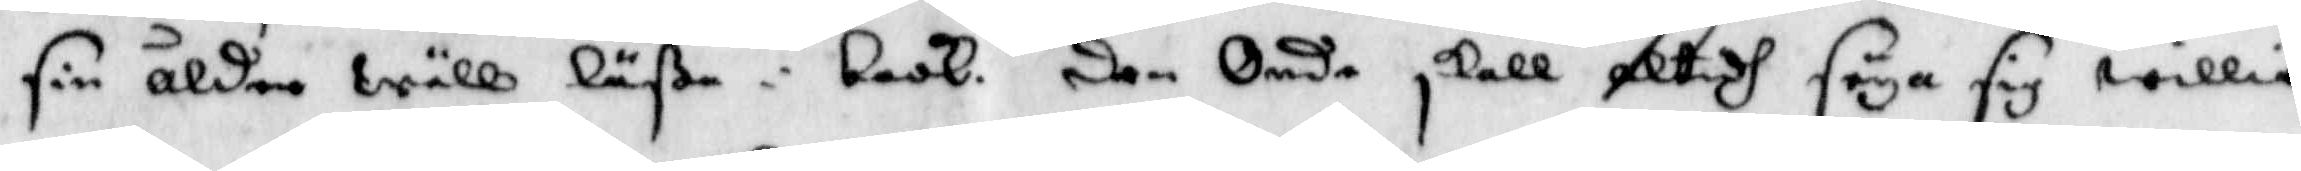sin ålder wäll läßa i book, den Onde skall altidh säga sig willia
